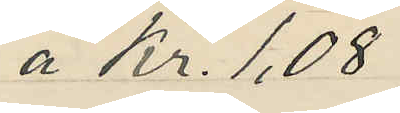a Kr. 1,08
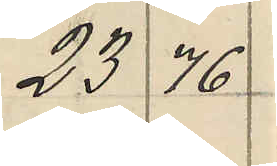23 76
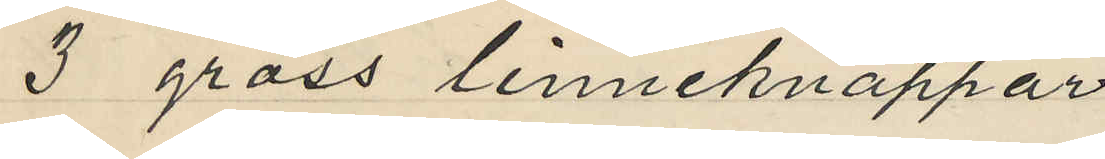3 gross linneknappar
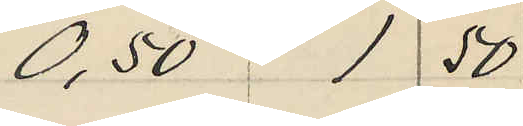0,50 1 50
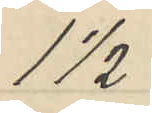1 1/2
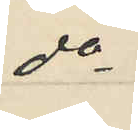do
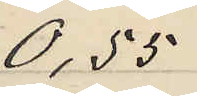0,55
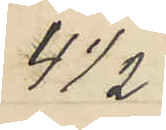4 1/2
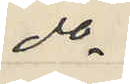do
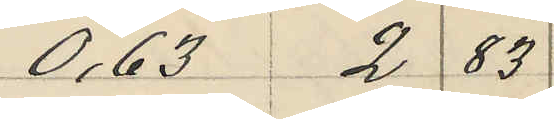0,63 2 85
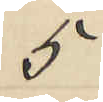5
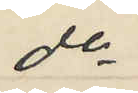do
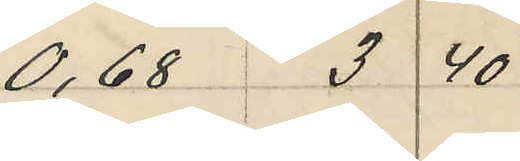0,68 3 40
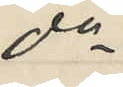do
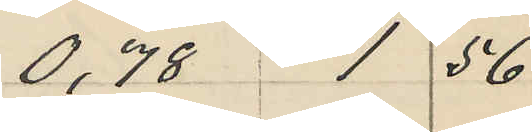0,78 1 56
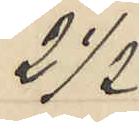2 1/2
